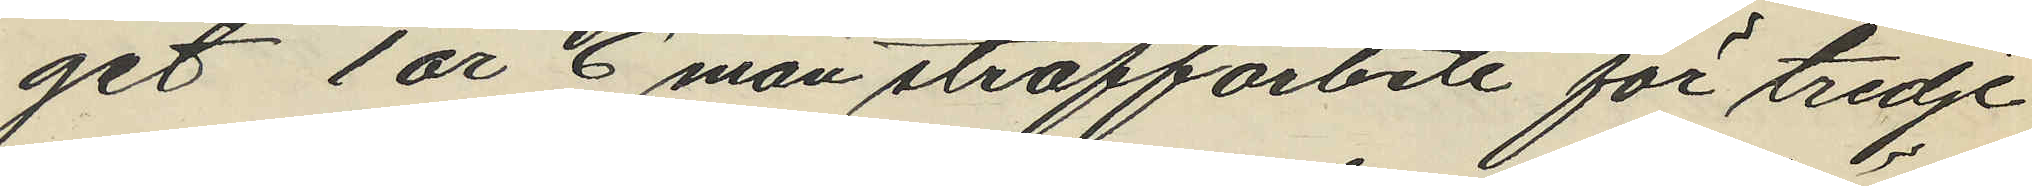get 1 år 6 mån straffarbete för tredje
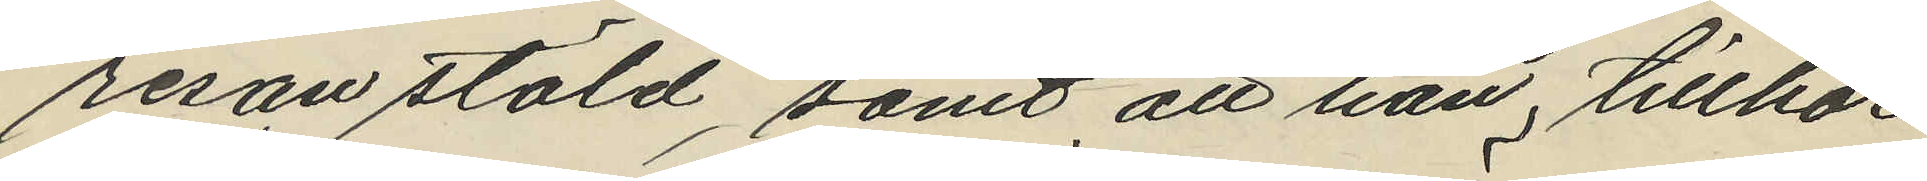resan stöld, samt att han, tillhör
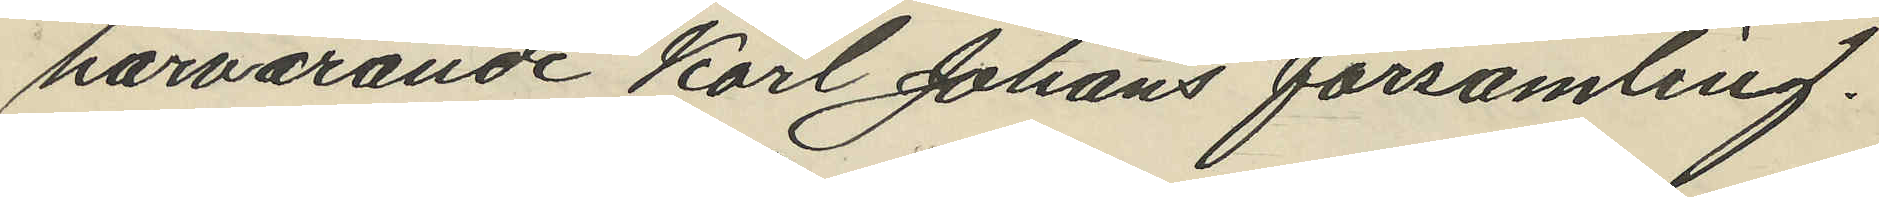härvarande Karl Johans församling.
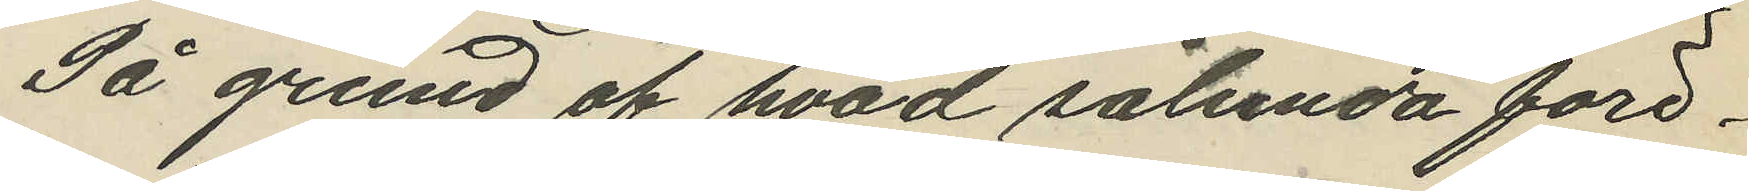På grund af hvad sålunda före¬
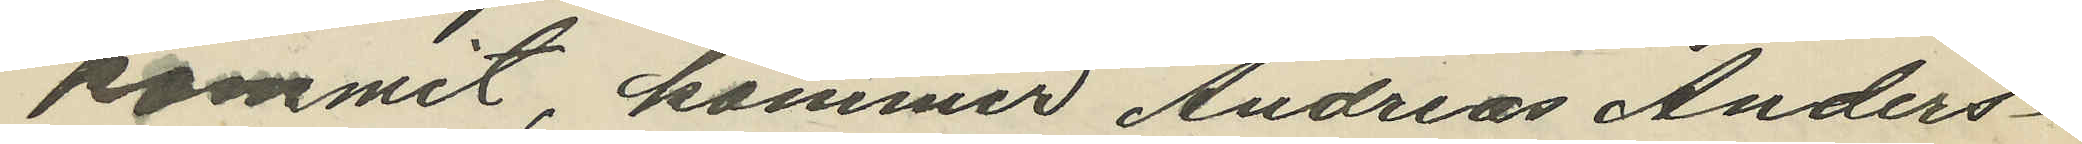kommit, kommer Andreas Anders¬
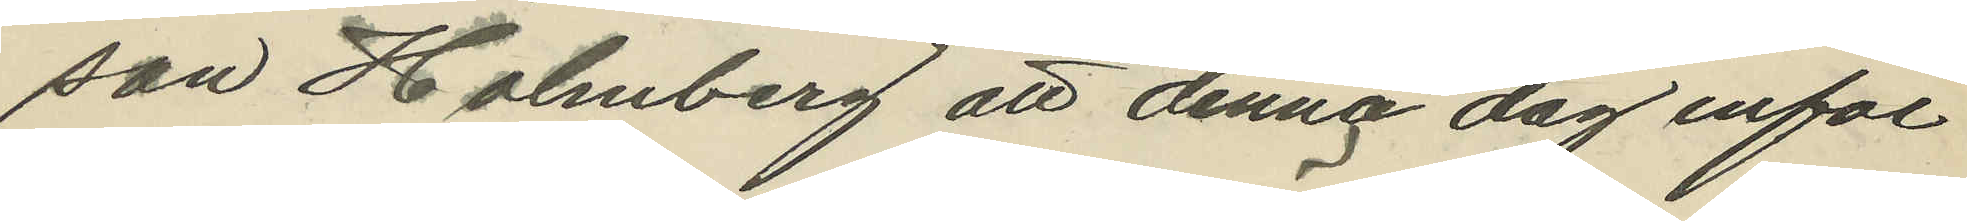son Holmberg att denna dag inför
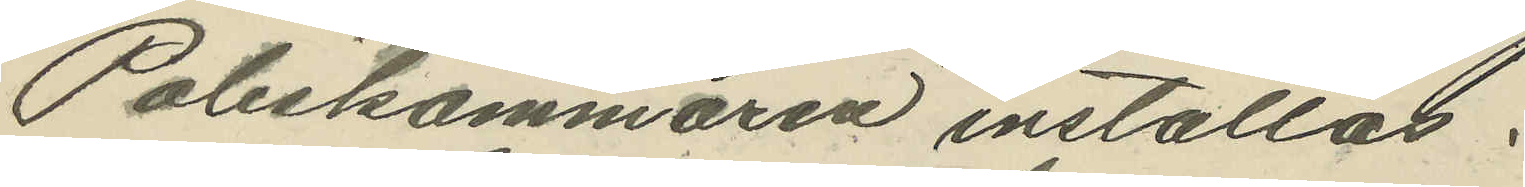Poliskammaren inställas.
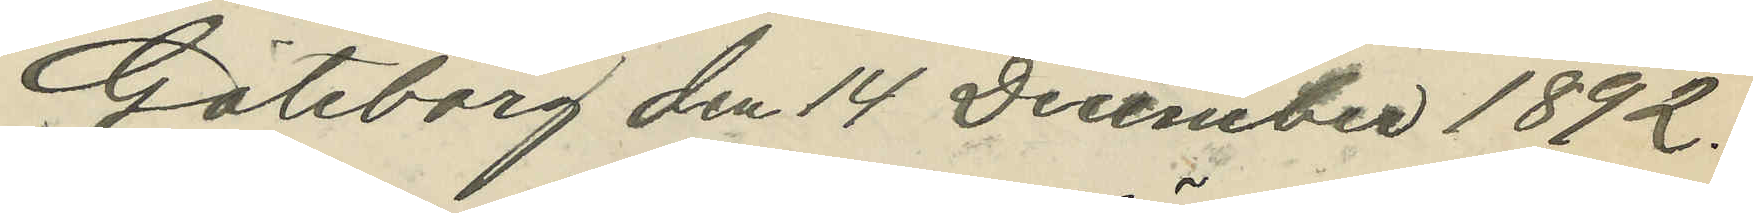Göteborg den 14 December 1892.
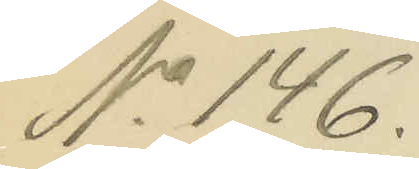No 146.
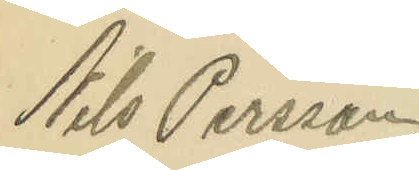Nils Persson
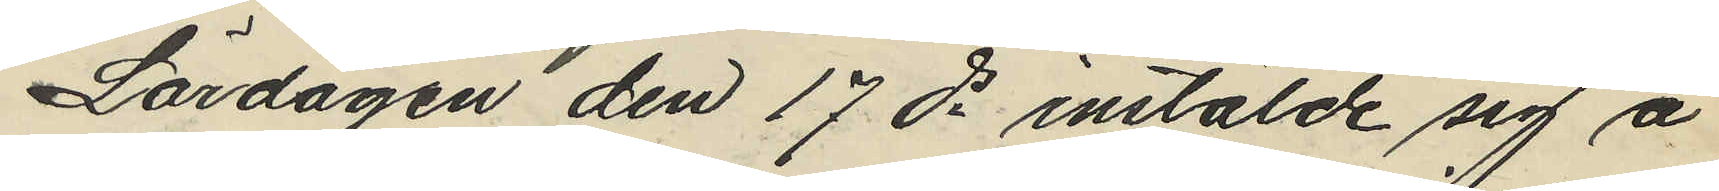Lördagen den 17 ds instälde sig å
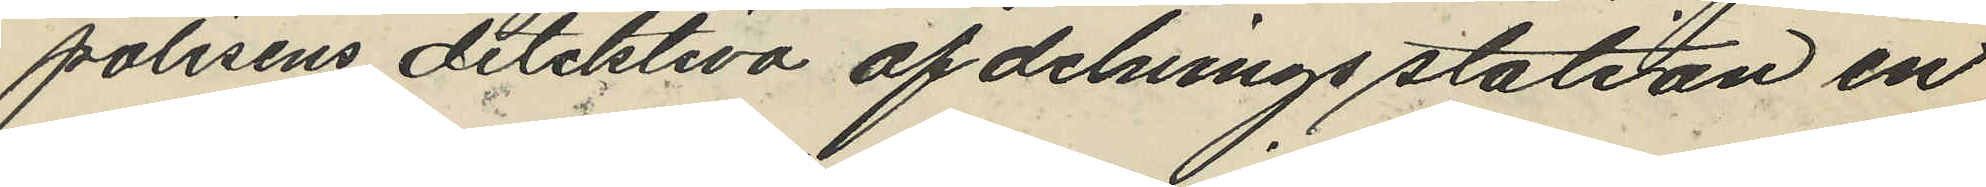polisens detektiva afdelnings station en
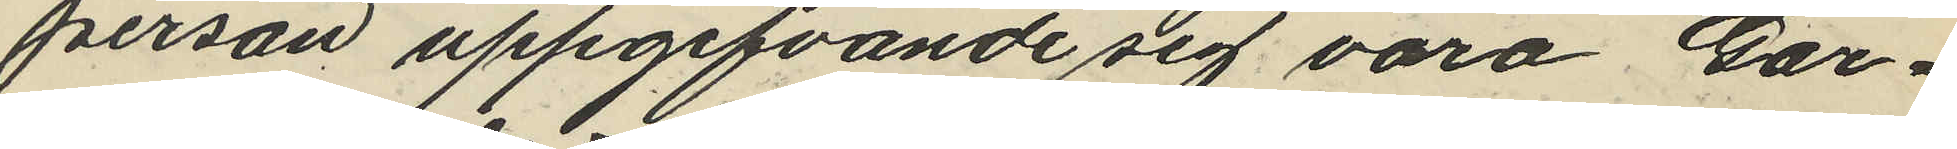person uppgifvande sig vara Gar¬
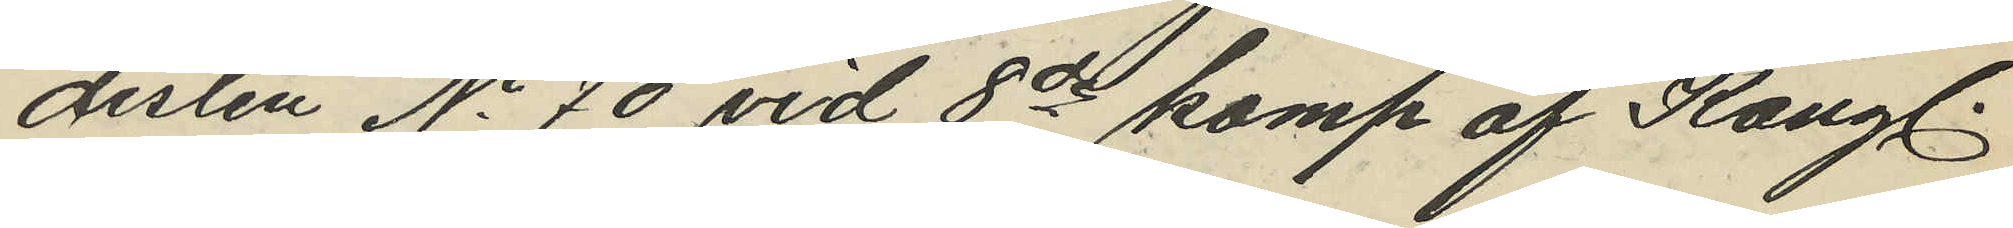disten No 70 vid 8de komp af Kongl.
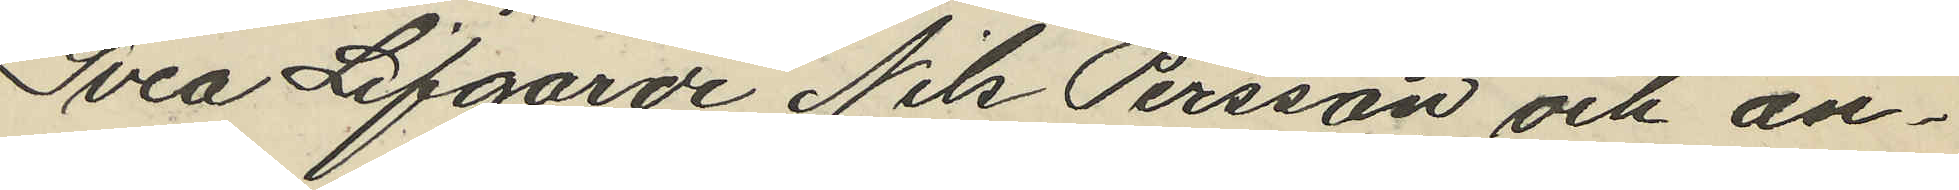Svea Lifgarde Nils Persson och an¬
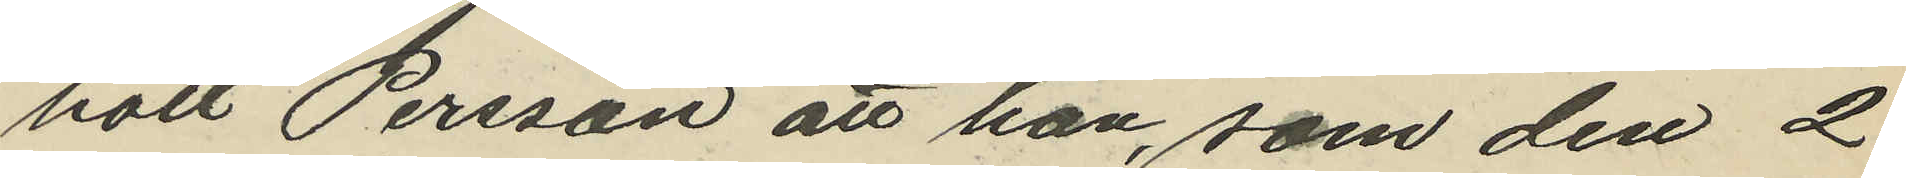höll Persson att han, som den 2
